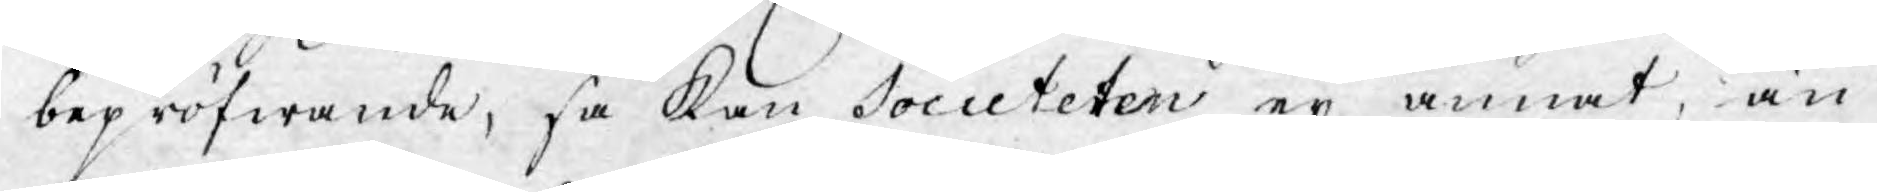bepröfwande, så kan Societeten ej annat, än
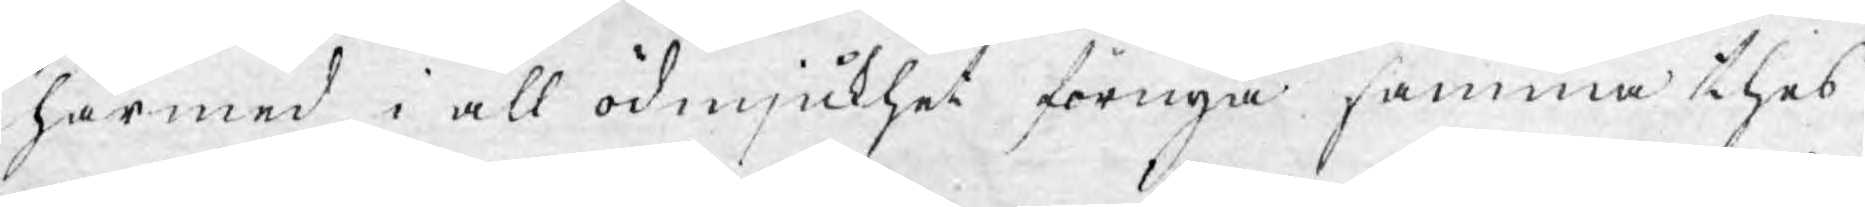härmed i all ödmjukhet förnya samma thes
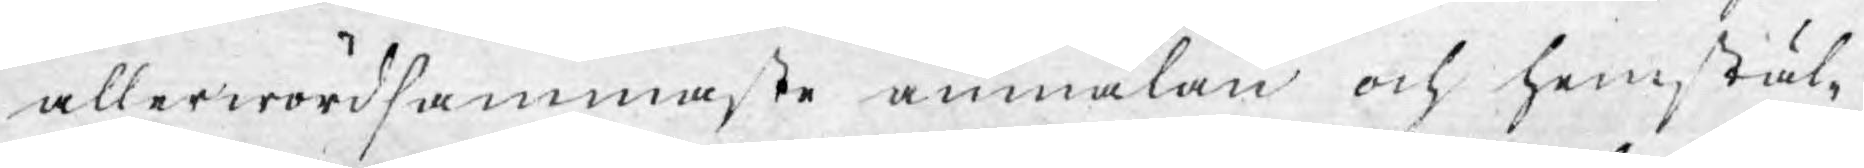allerwördsammaste anmälan och hemstäl¬
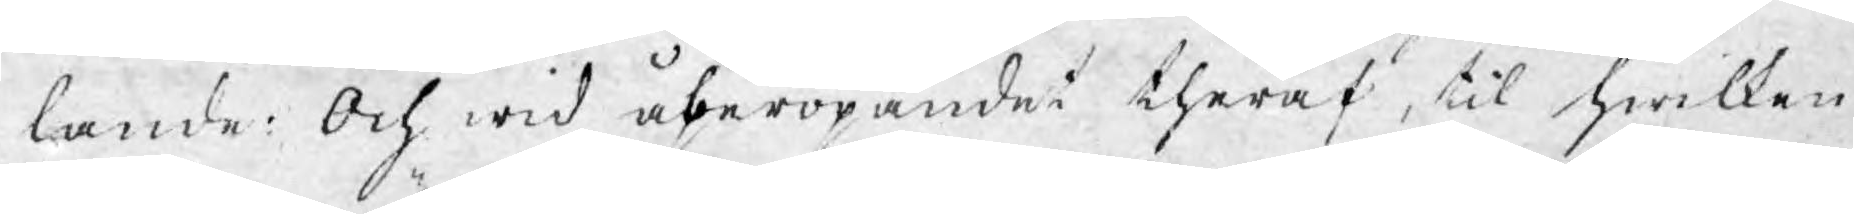lande: Och wid åberopandet theraf, til hwilken
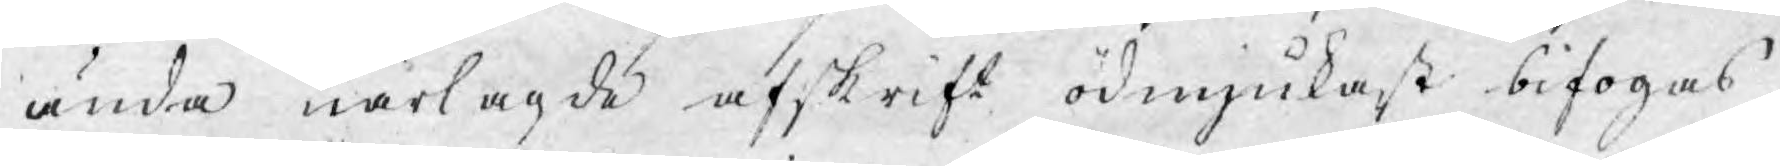ända närlagde afskrift ödmjukast bifogas,
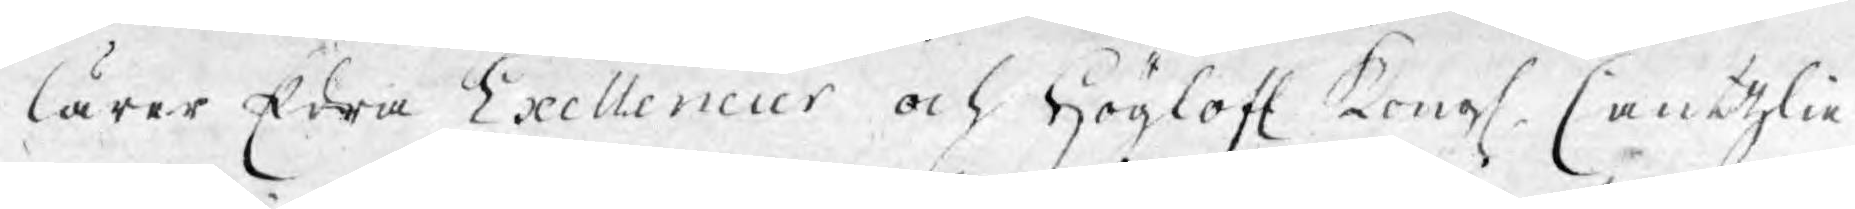lärer Edra Exellencier och Höglofl. Kongl. Cantzlie
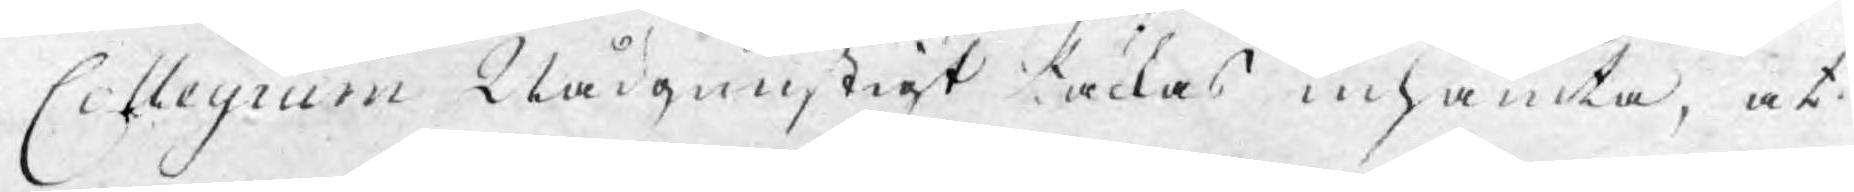Collegium Nådgunstigt täckas inhämta, at
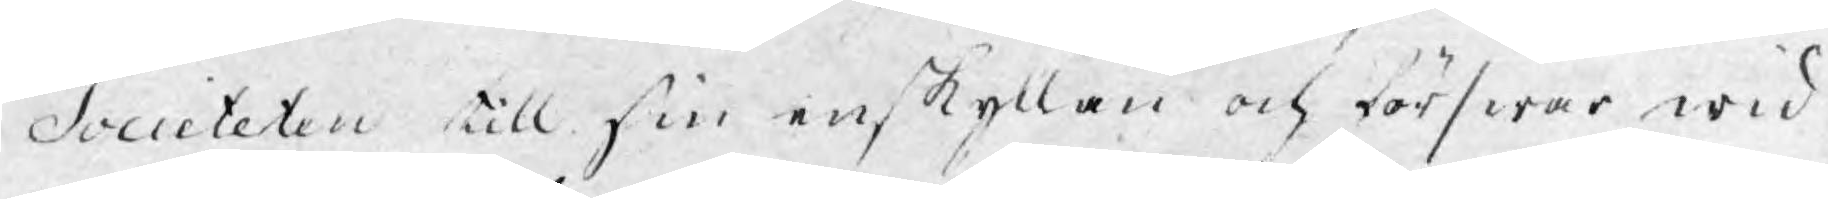Societeten till sin enskyllan och förswar wid
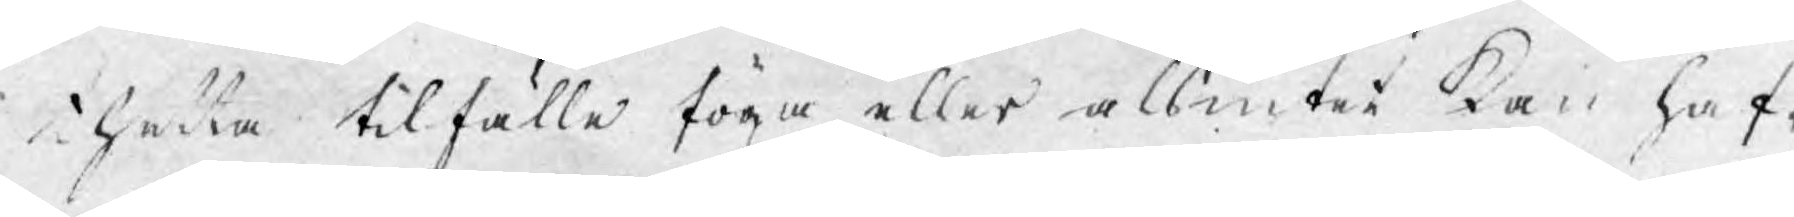thetta tilfälle föga eller als intet kan haf¬
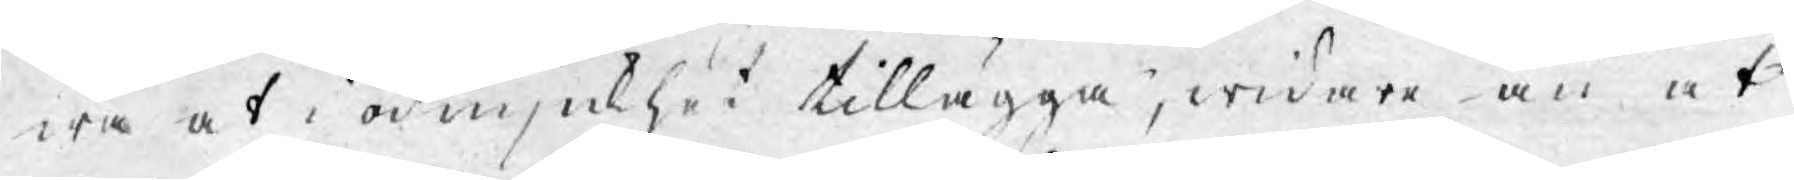wa at i ödmjukhet tillägga, widare än at
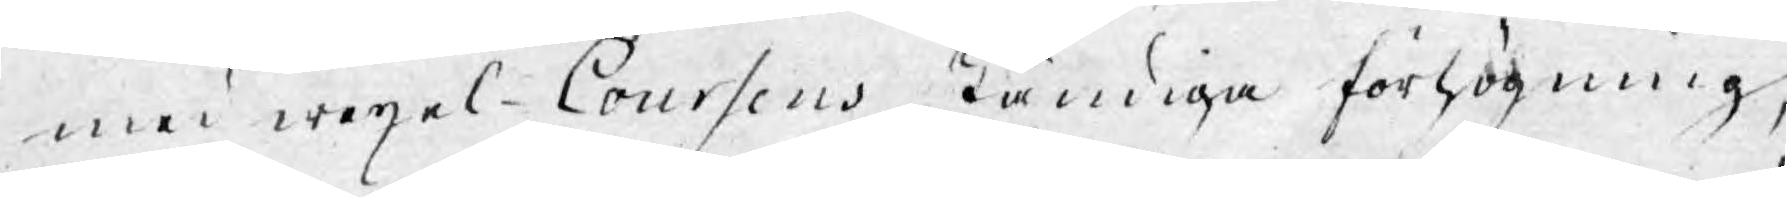med wexel-Coursens ständiga förhögning,
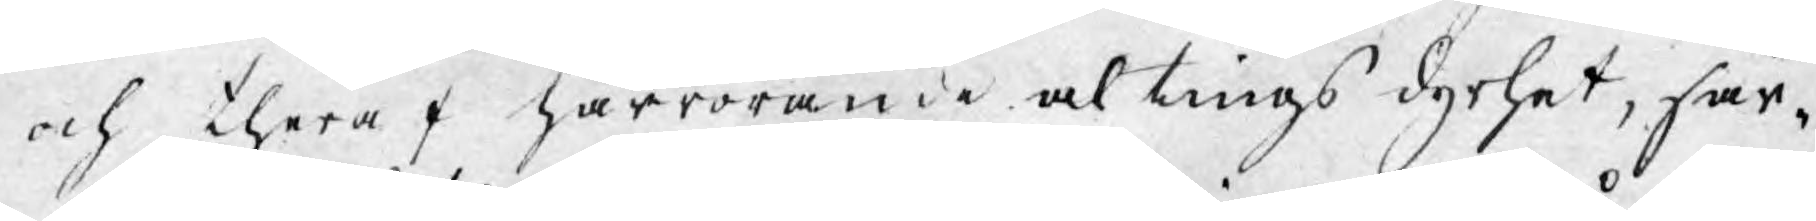och theraf härrörande altings dyrhet, för¬
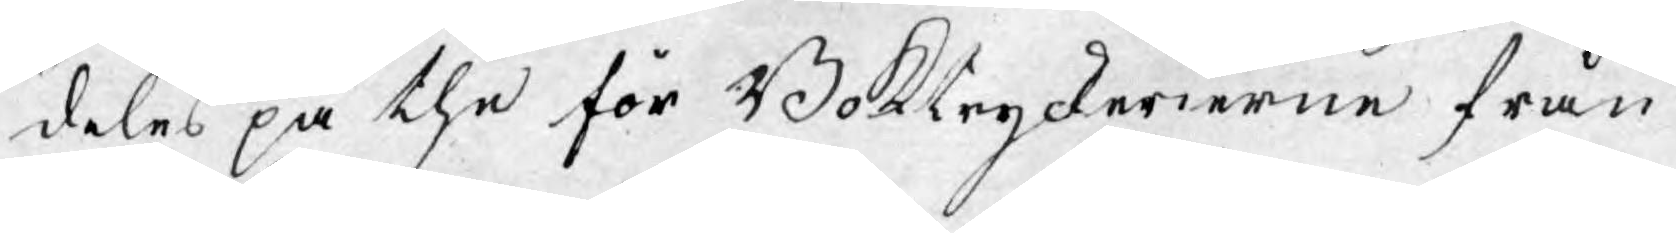delat på the för Boktryckerierne från
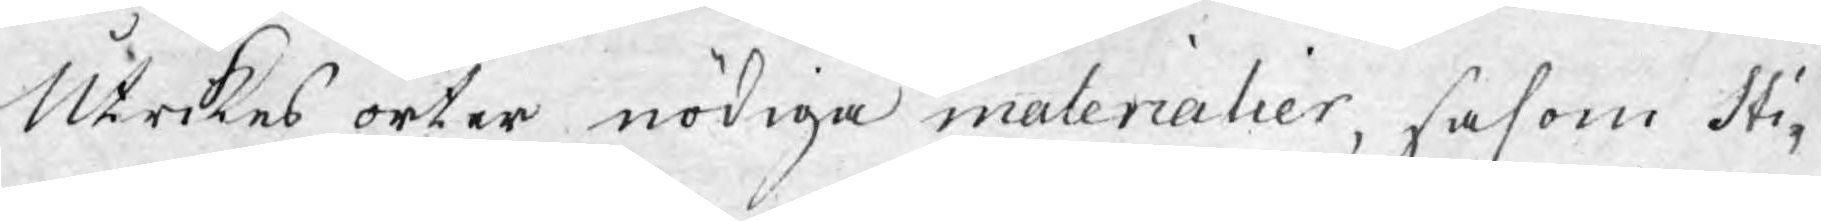Utrikes orter nödiga materialier, såsom sti¬
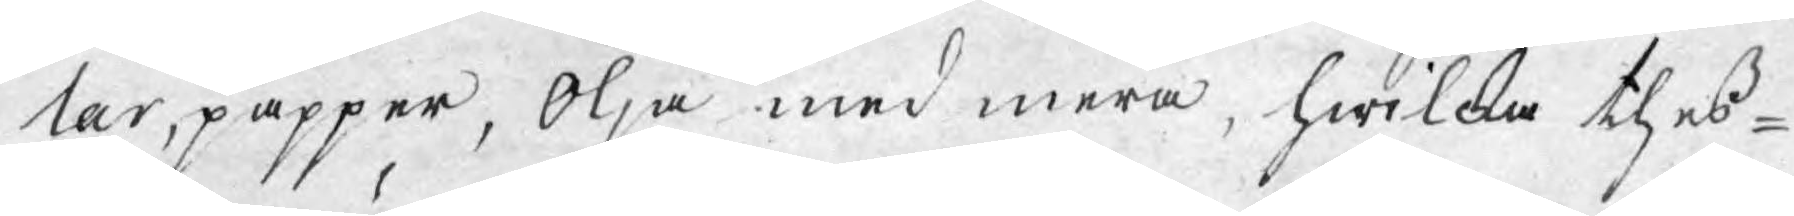lar, papper, Olja med mera, hwilcka thess¬
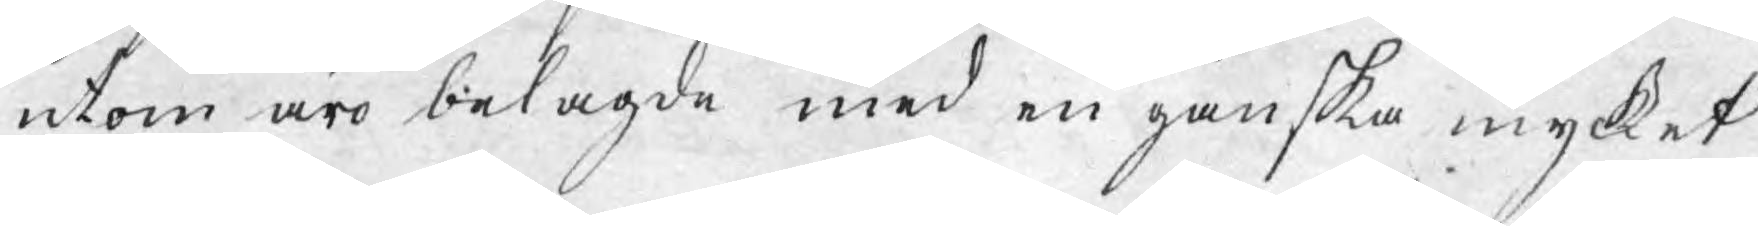utom äro belagde med en ganska mycket
